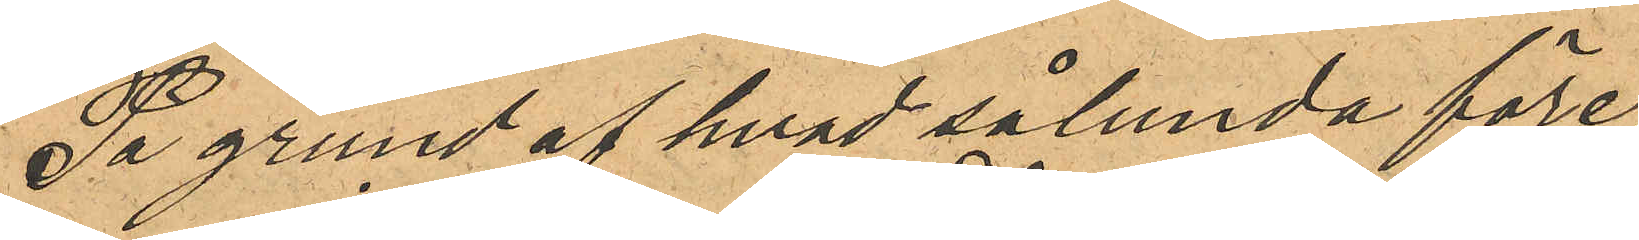På grund af hvad sålunda före¬
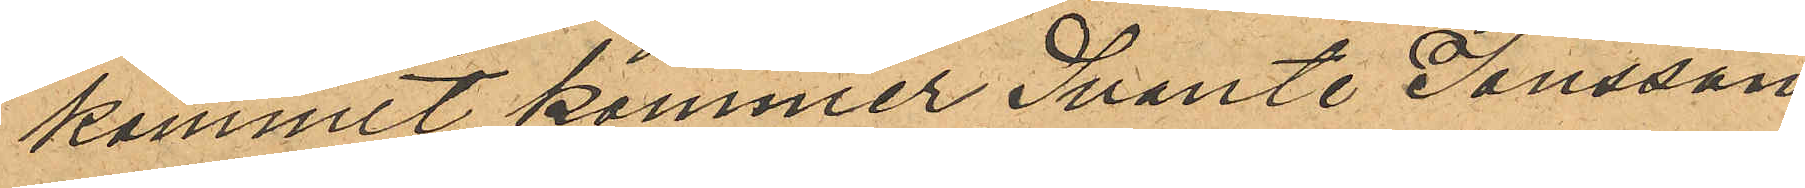kommit kommer Svante Jonsson
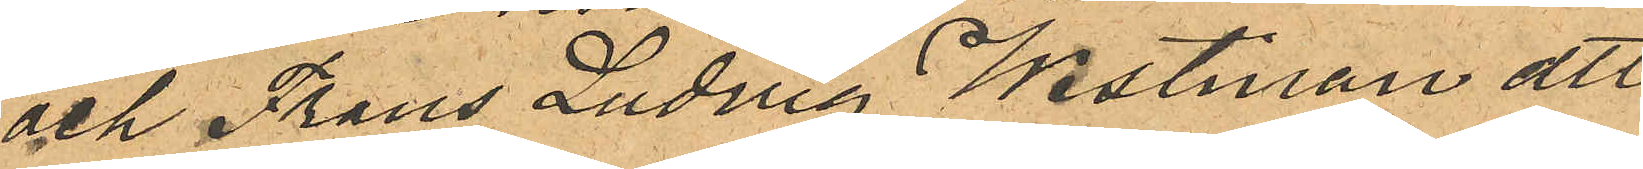och Frans Ludvig Westman att
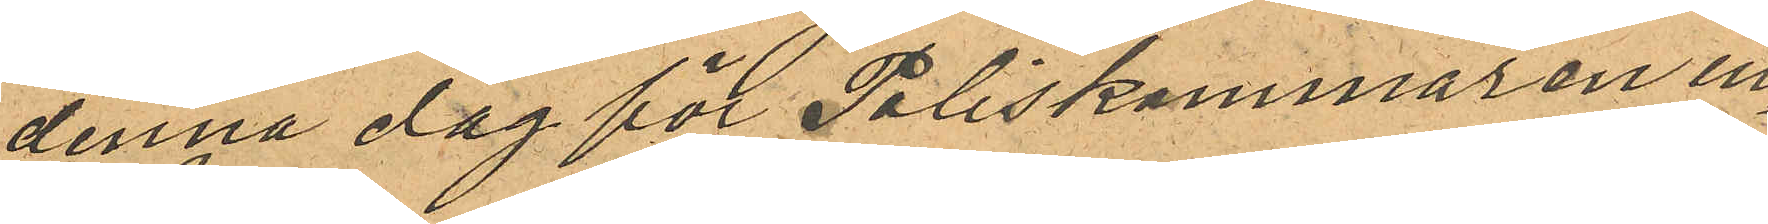denna dag för Poliskammaren in¬
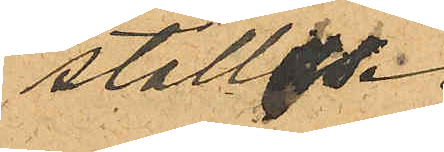ställas.
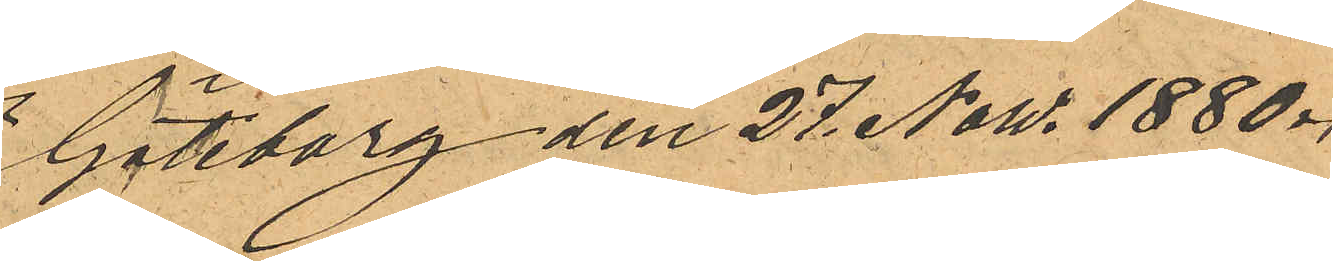Göteborg den 27 Now. 1880.
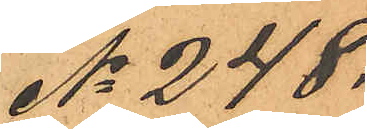No 248.
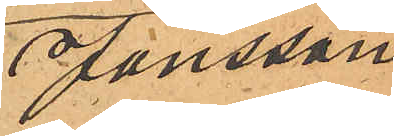Jonsson
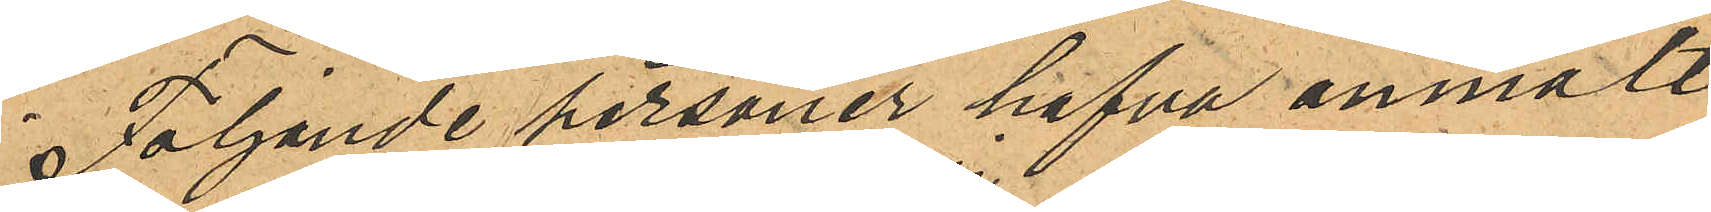Följande personer hafva anmält
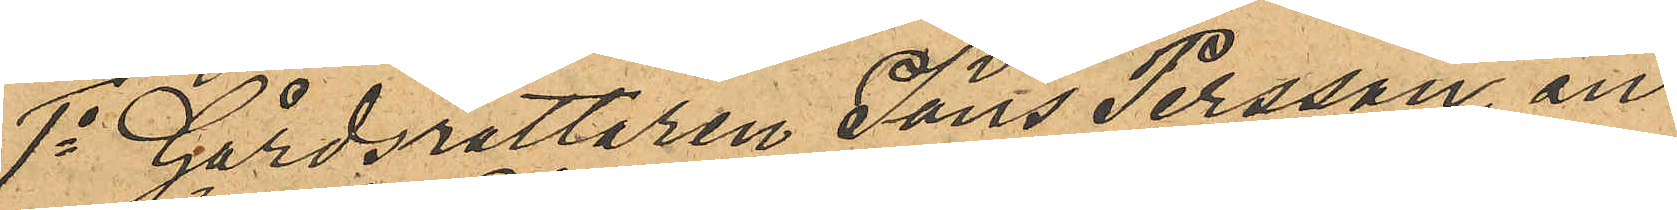1o Gårdsrättaren Jöns Persson an¬
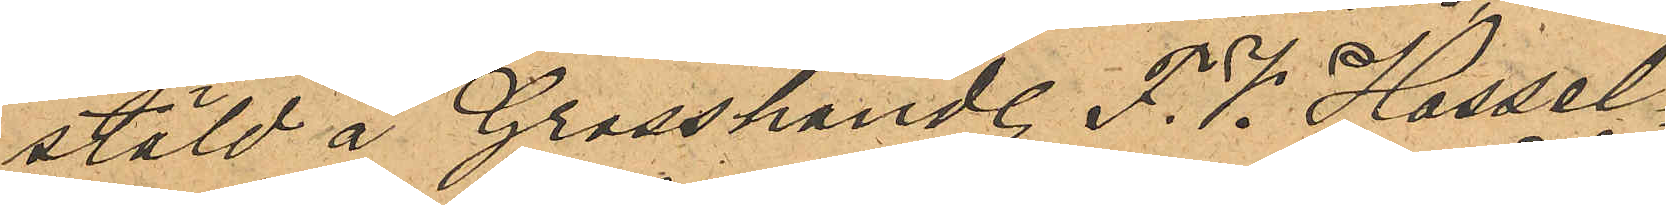stäld å Grosshandl. F. V. Hassel¬
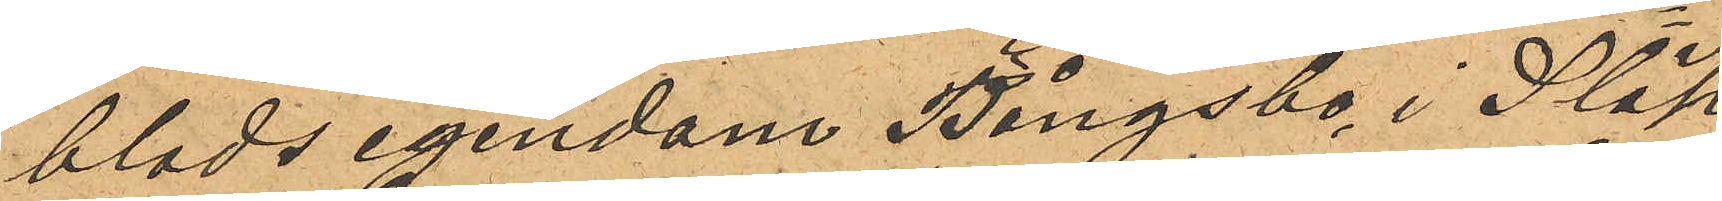blads egendom Bångsbo i Släp
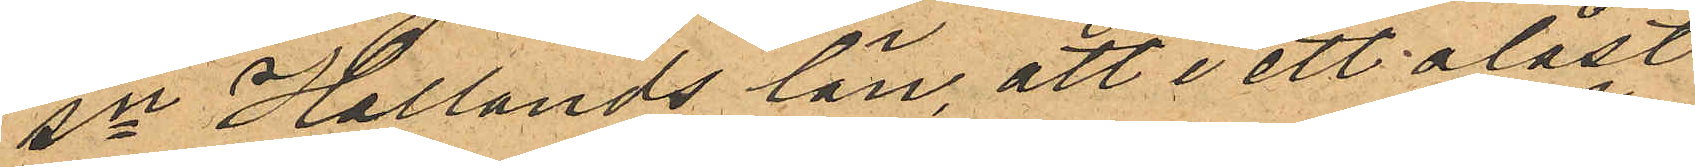sn Hallands län, att i ett olåst
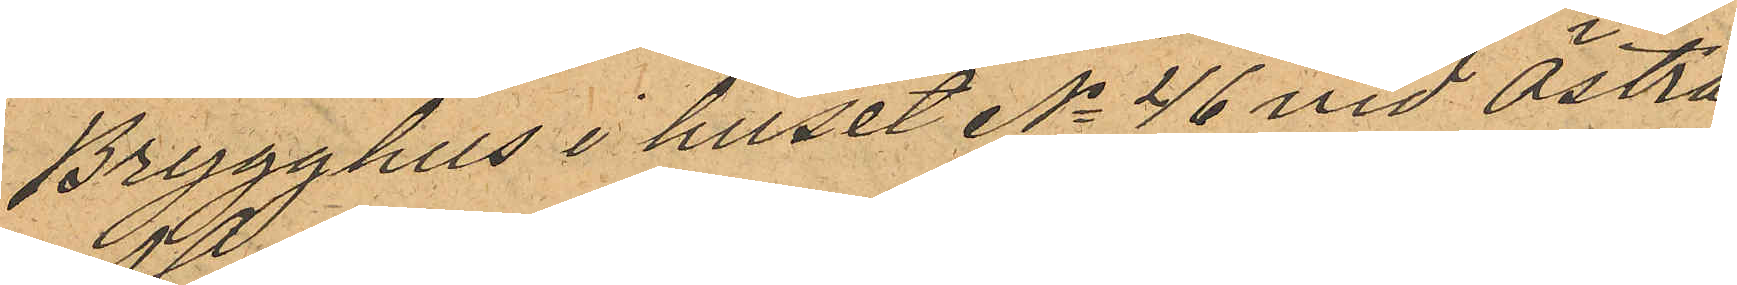Brygghus i huset No 46 vid Östra
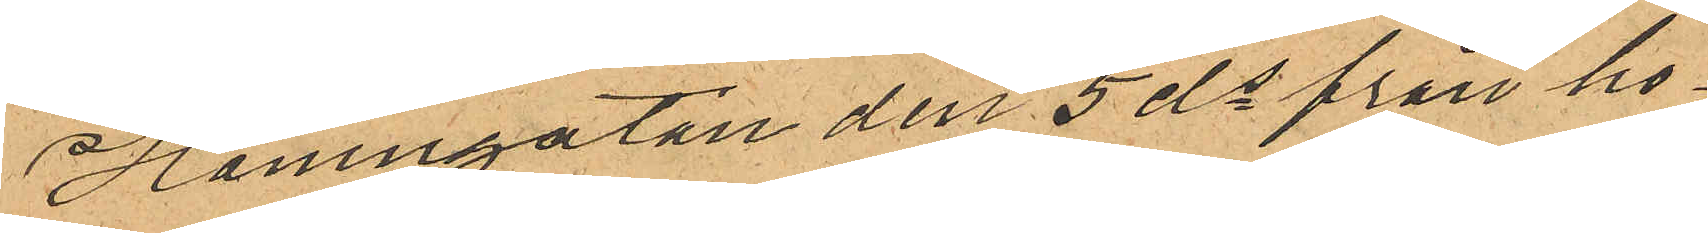Hamngatan den 5 ds från ho¬
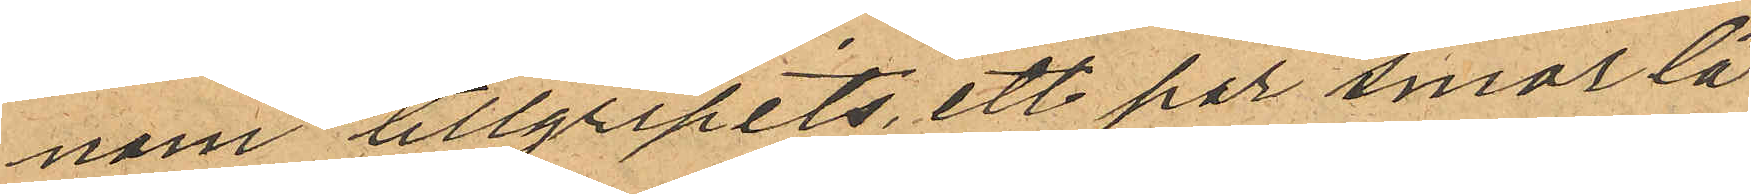nom tillgripits, ett par smorlä¬
